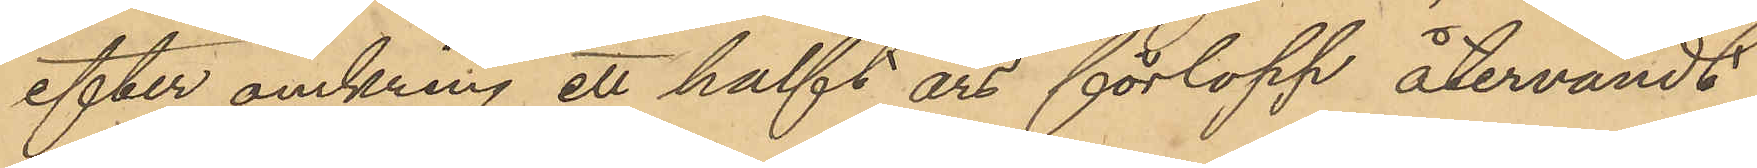efter omkring ett halft års förlopp återvändt
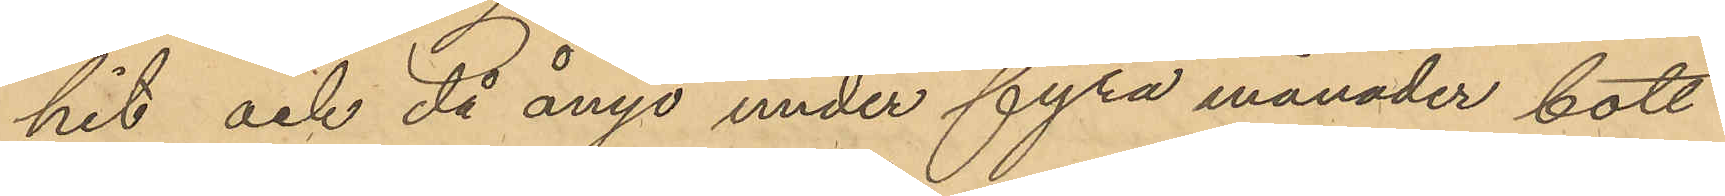hit och då ånyo under fyra månader bott
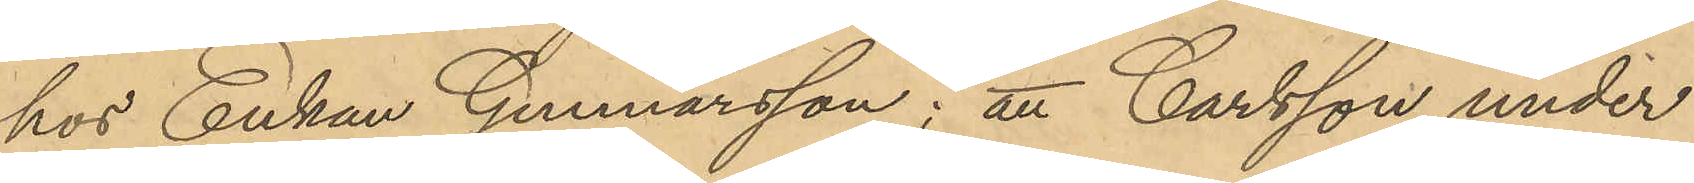hos Enkan Gunnarsson; att Carlsson under
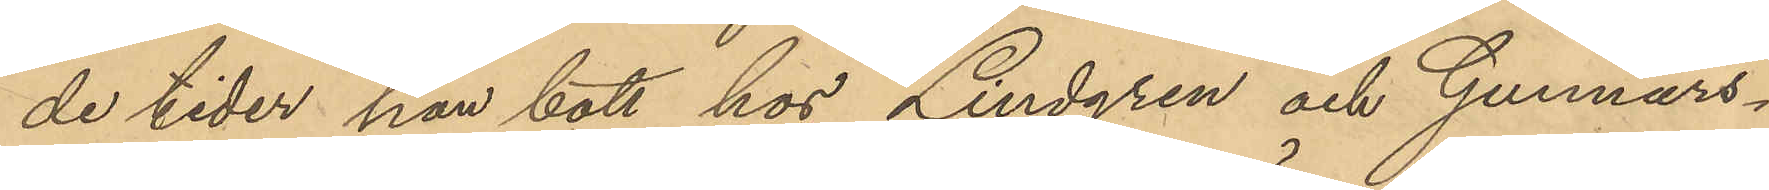de tider han bott hos Lindgren och Gunnars¬
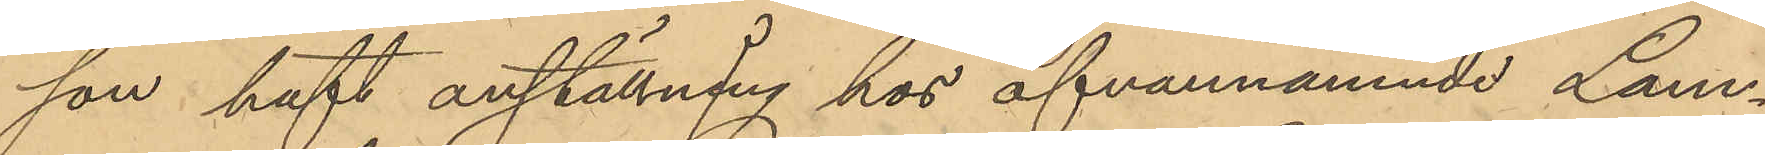son haft anställning hos ofvannämnde Lam¬
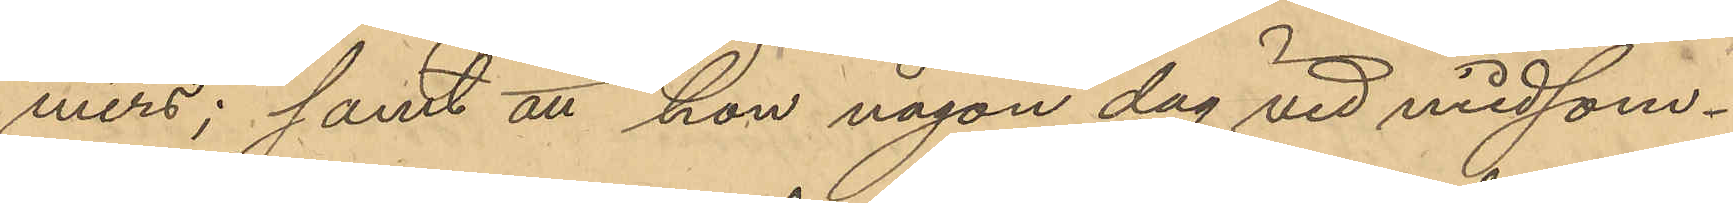mers; samt att hon någon dag vid midsom¬
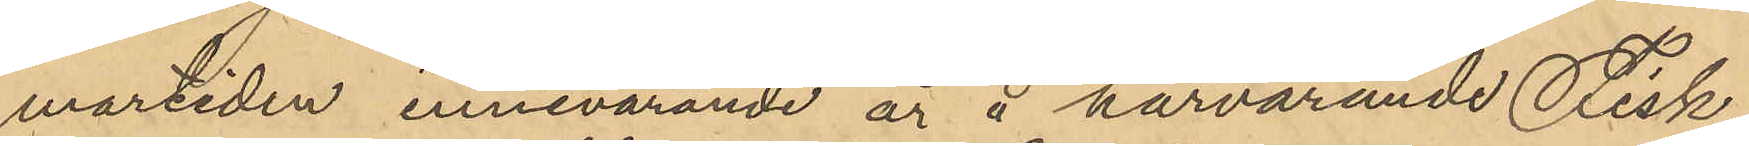martiden innevarande år å härvarande Fisk-
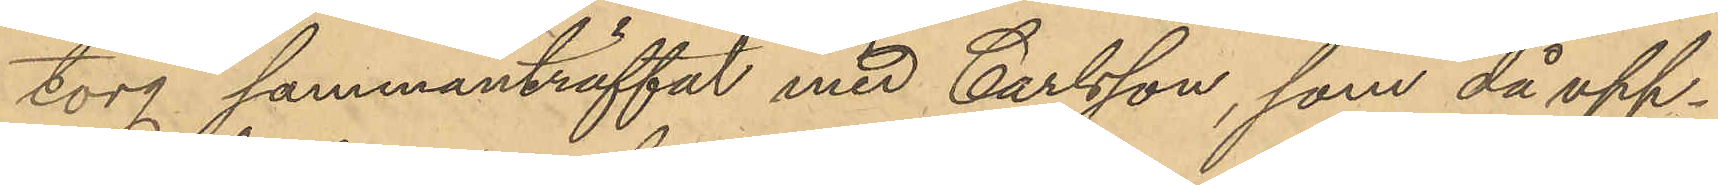torg sammanträffat med Carlsson, som då upp¬
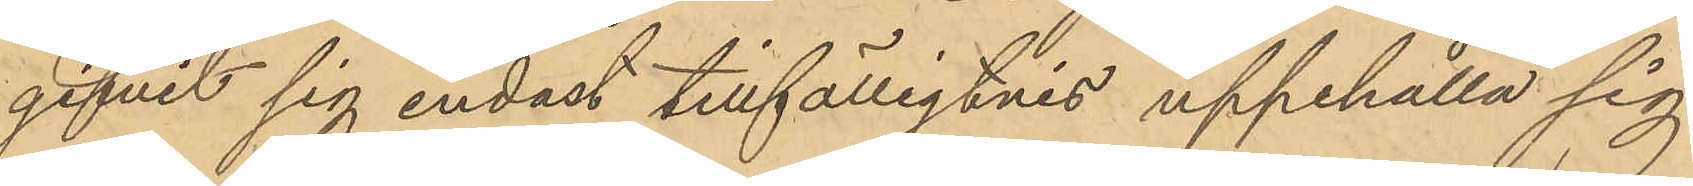gifvit sig endast tillfälligtvis uppehålla sig
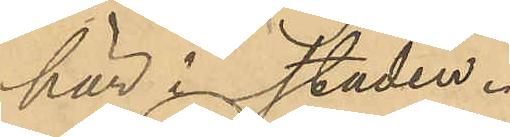här i staden.
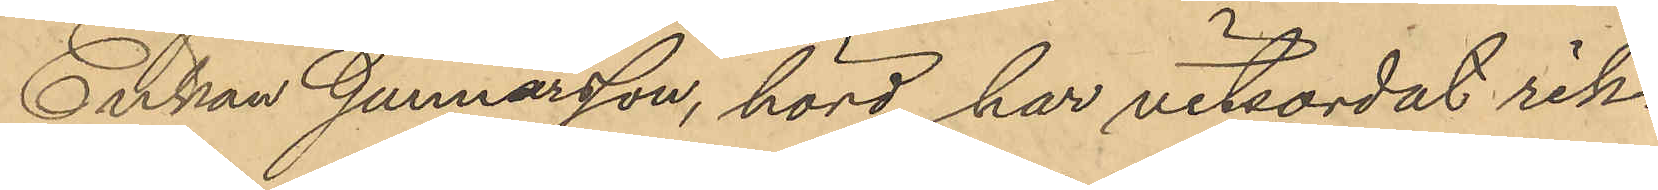Enkan Gunnarsson, hörd, har vitsordat rik¬
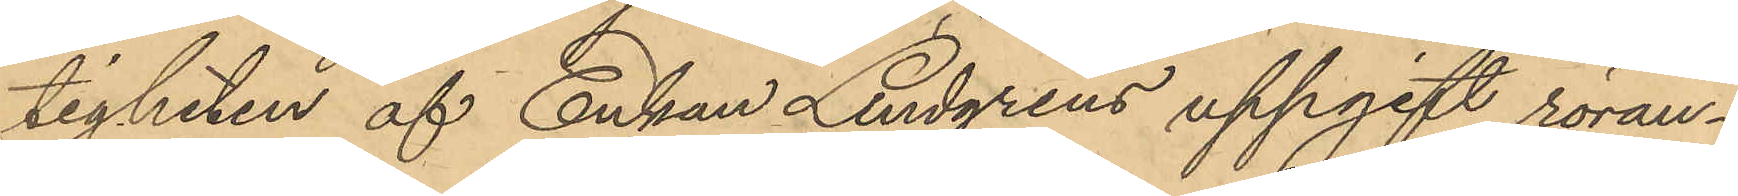tigheten af Enkan Lindgrens uppgift röran¬
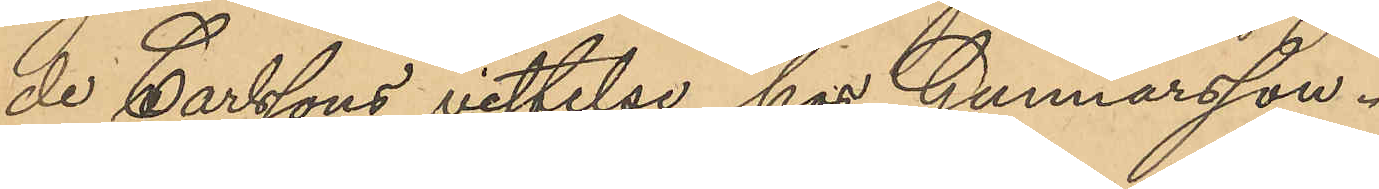de Carlssons vistelse hos Gunnarsson.
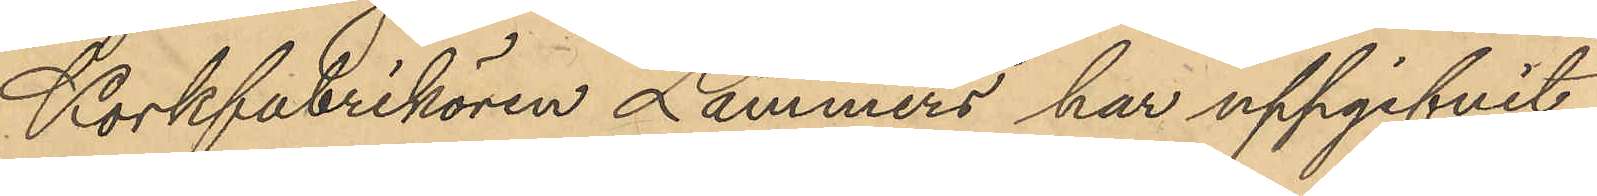Korkfabrikören Lammers har uppgifvit
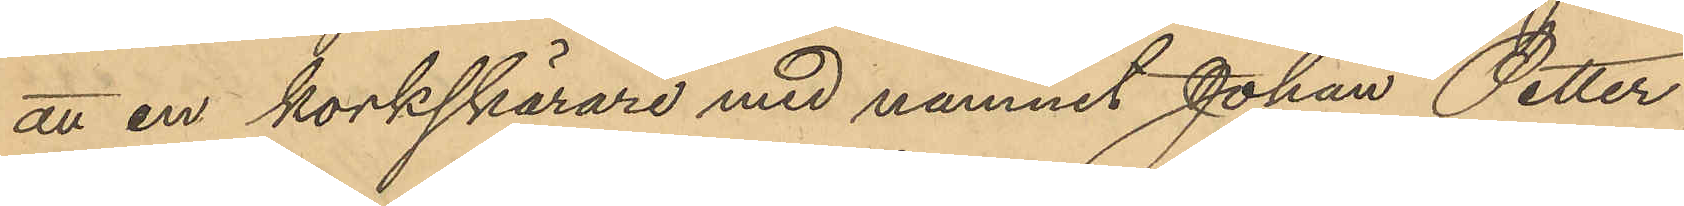att en korkskärare med namnet Johan Petter
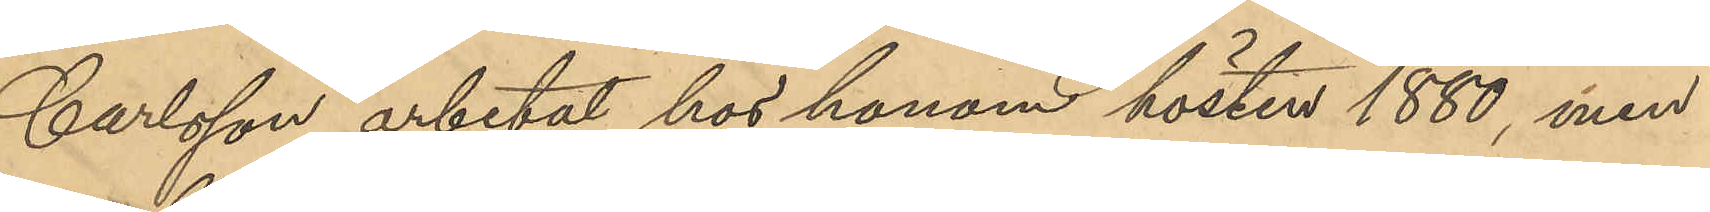Carlsson arbetat hos honom hösten 1880, men
